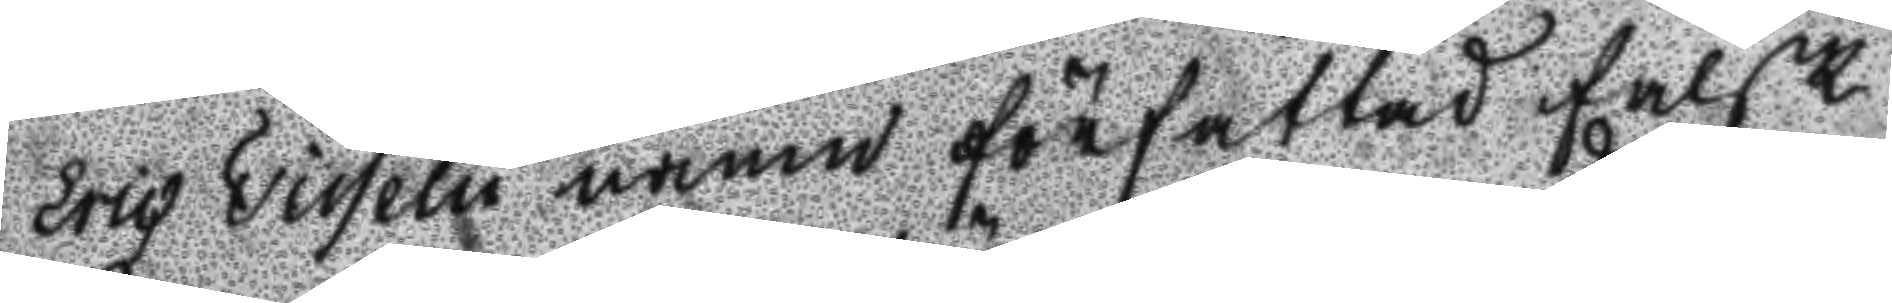eric Tisselu namn författad falsk
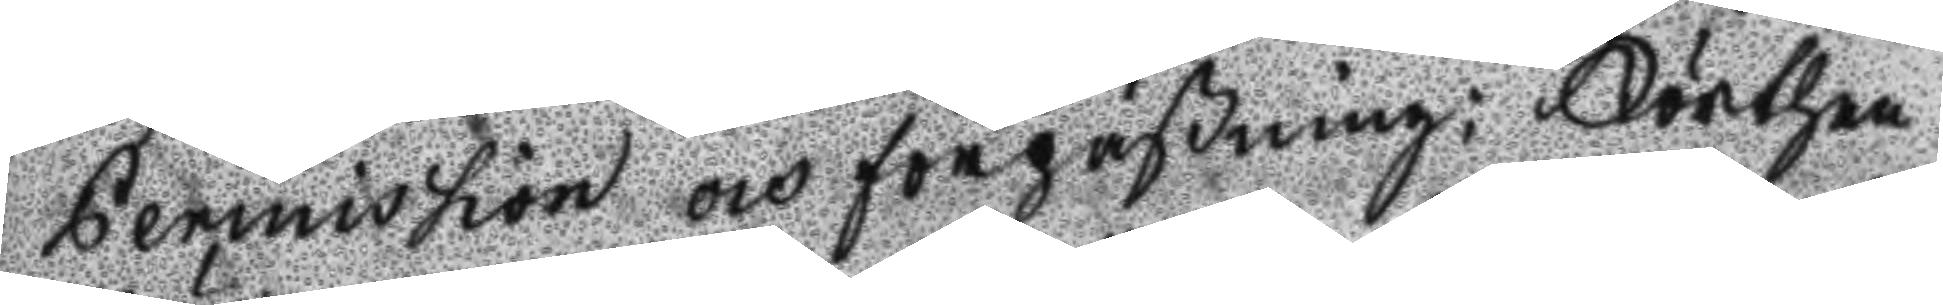Permission och förpaßning; Förthen
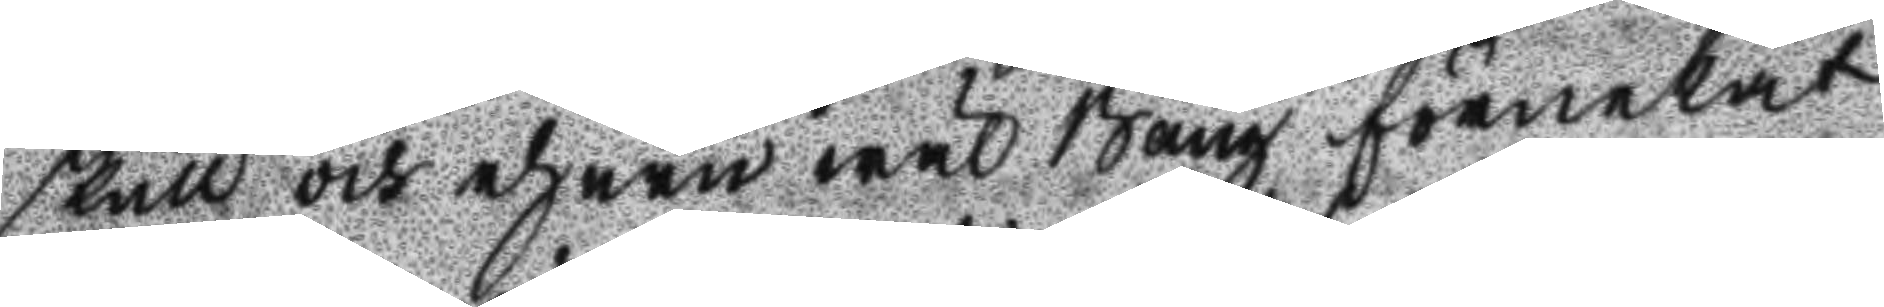skull och ehuru wäl Bång förnekat
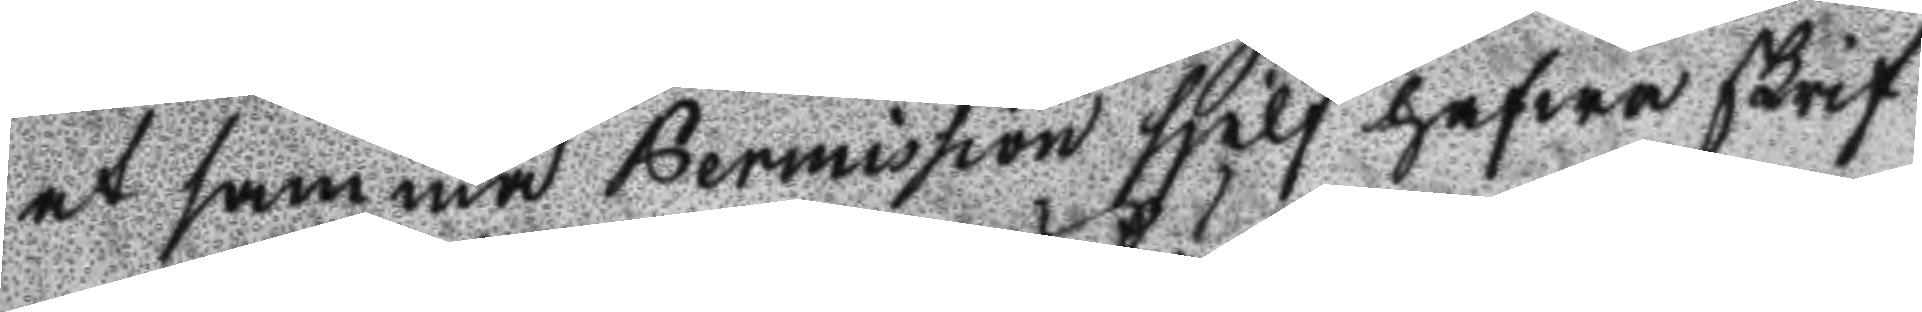at samma Permission sjelf hafwa skrif
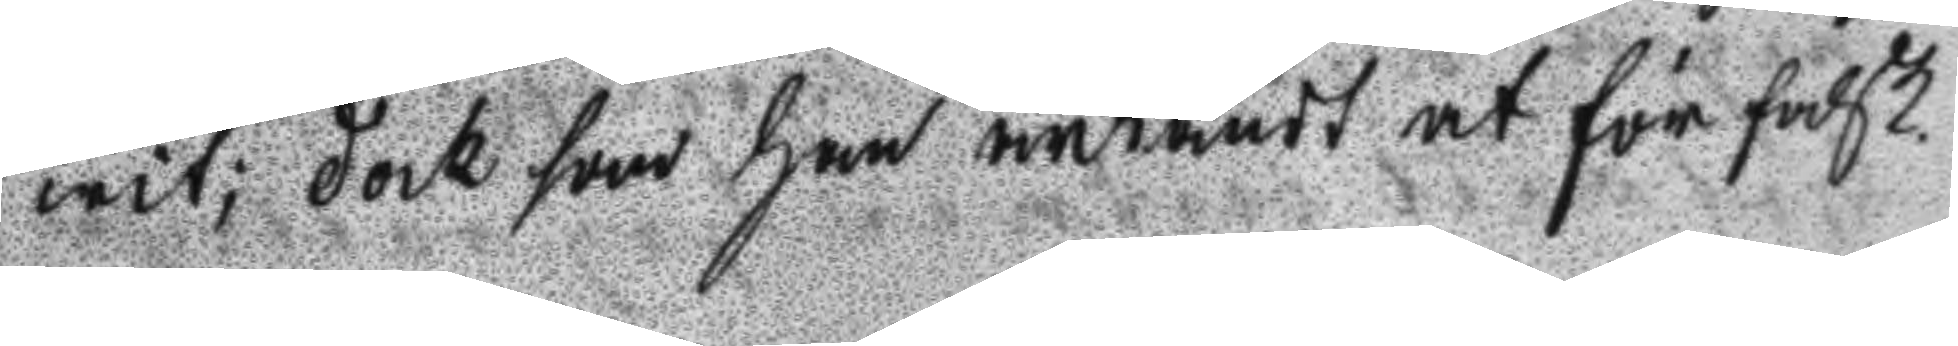wit; dock som han ärkändt at förfalsk.
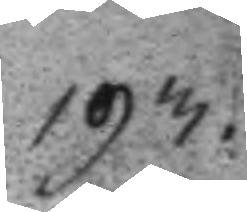193.
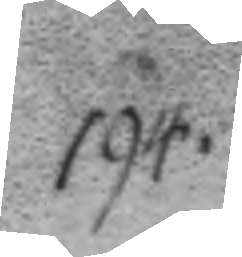194.
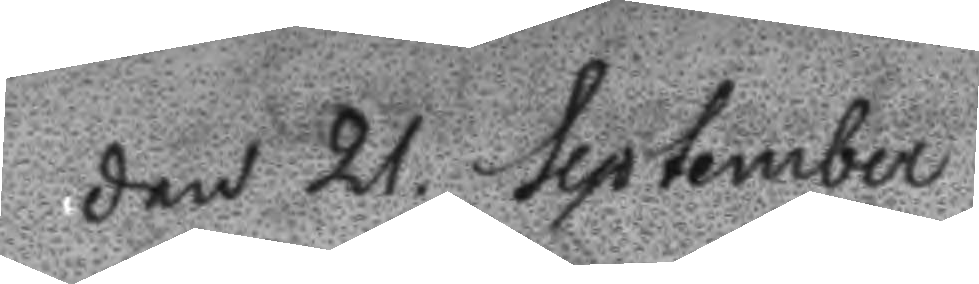Den 21 September
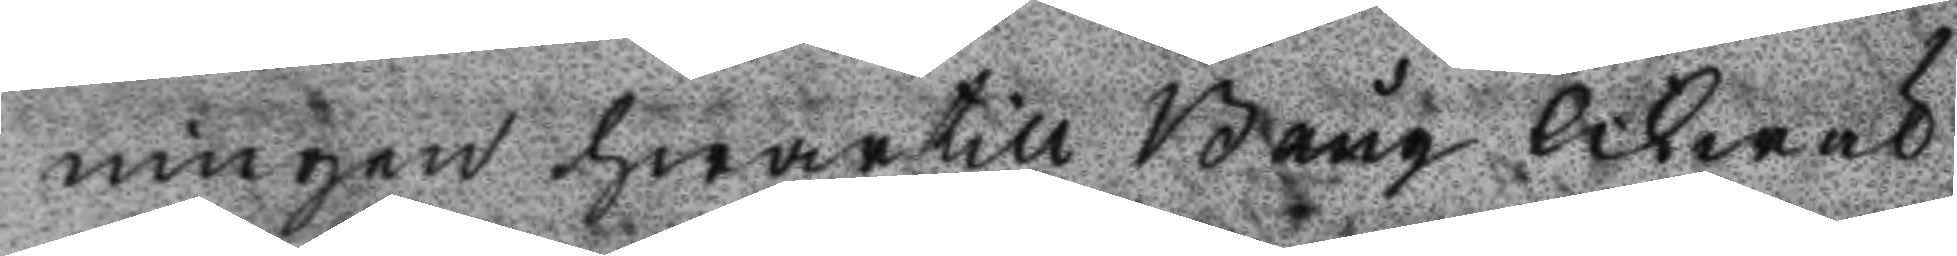ningen hwartill Bång likwäl
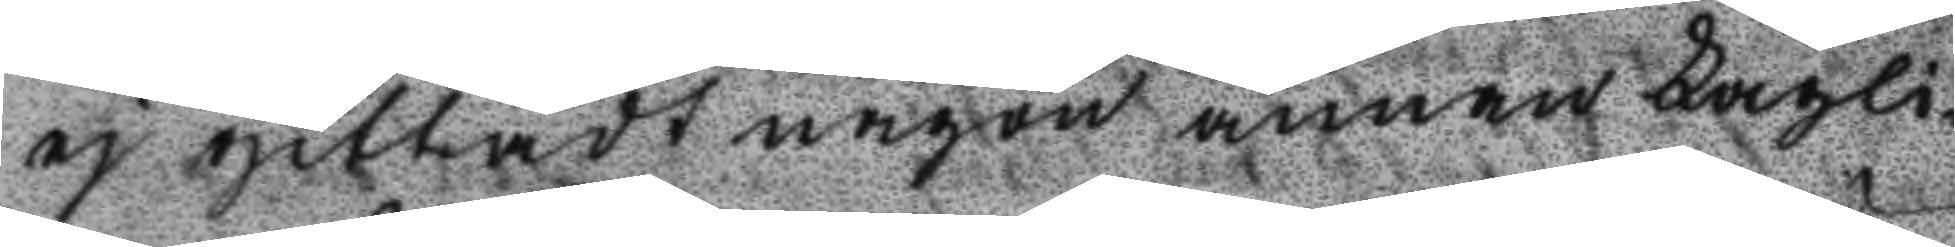ej gittadt någon annan Lagli¬
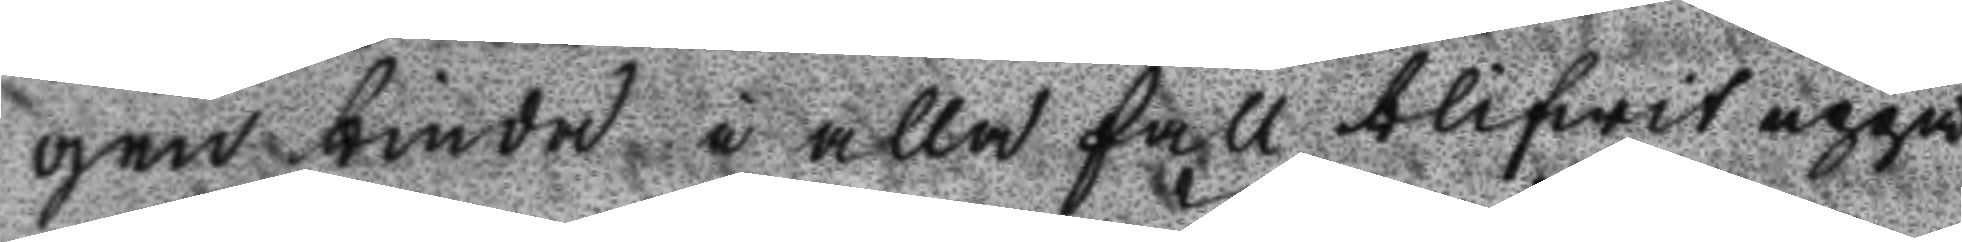gen binda i alla fall blifwit uppå
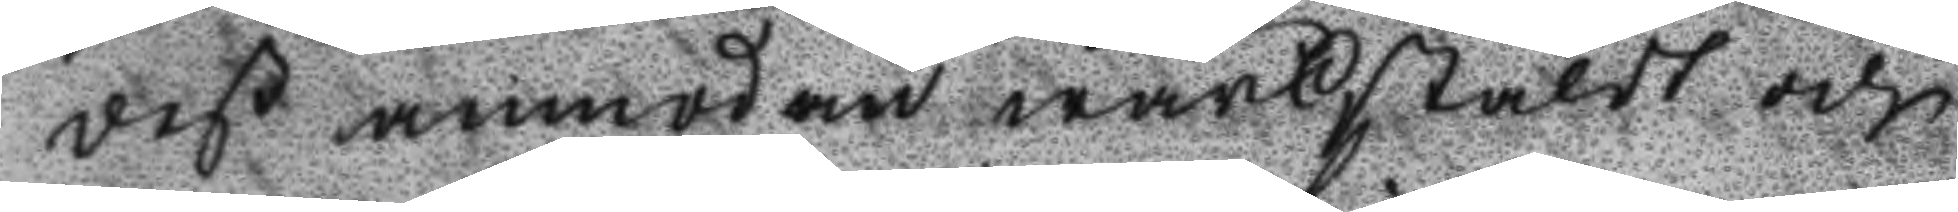deß anmodan wärkstäldt och
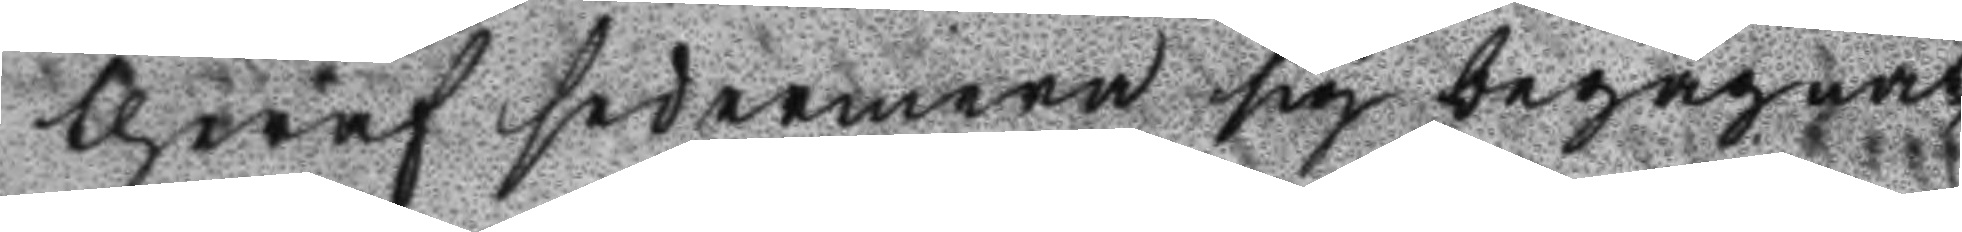theraf sedermera sig begagnat,
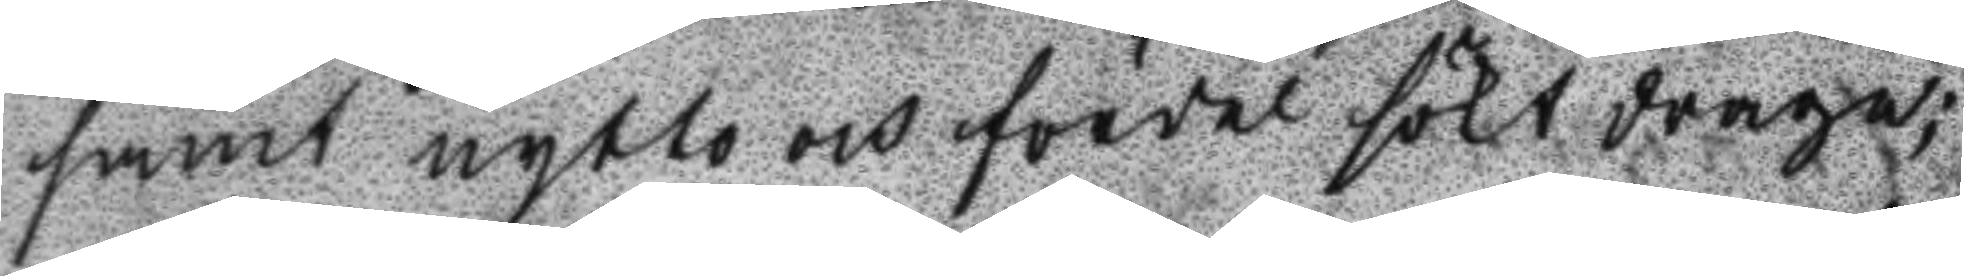samt nytto och fördel sökt draga;
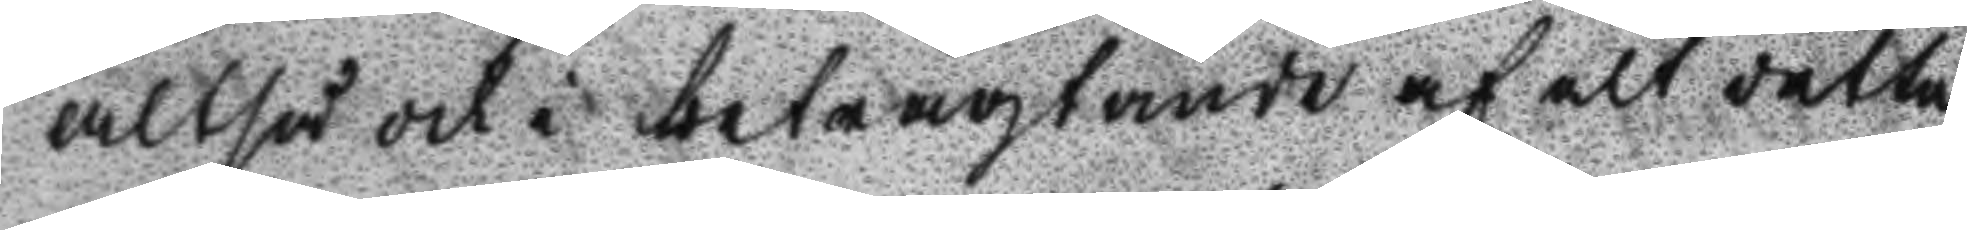alltså och i betragtande af alt detta
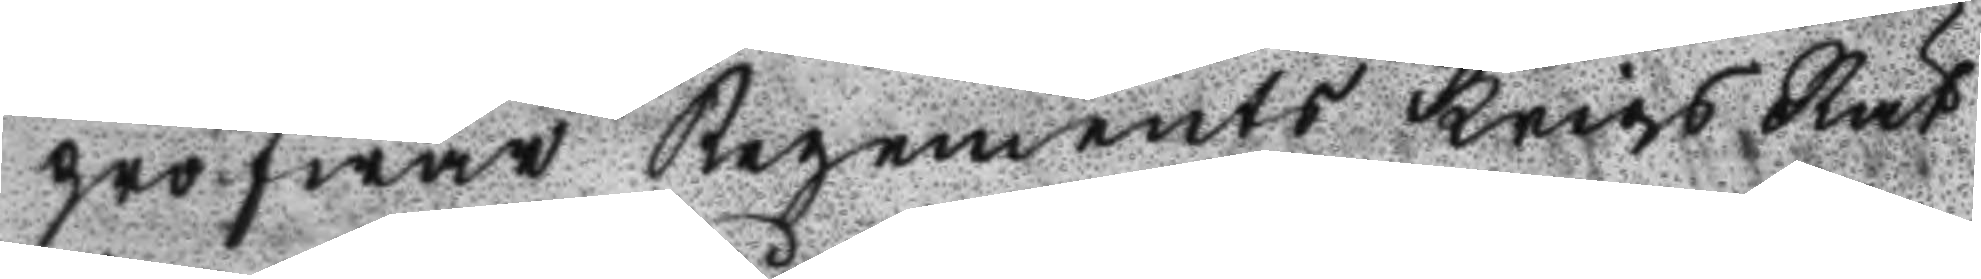pröfwar Regements Krigs Rät
